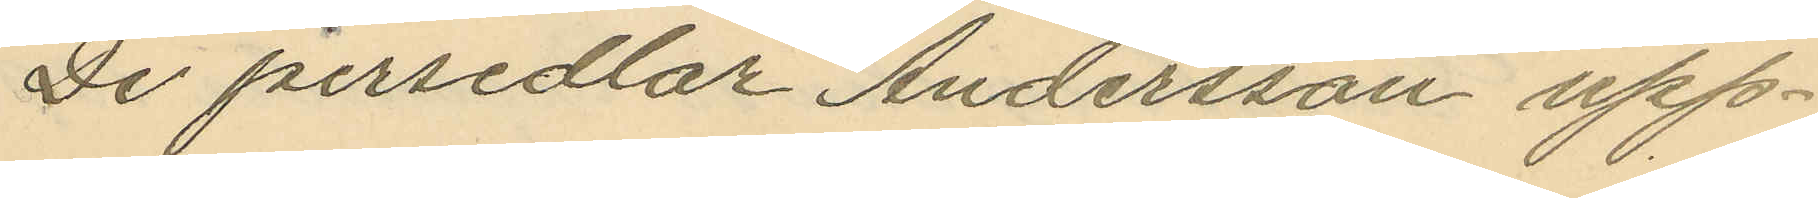De persedlar Andersson upp¬
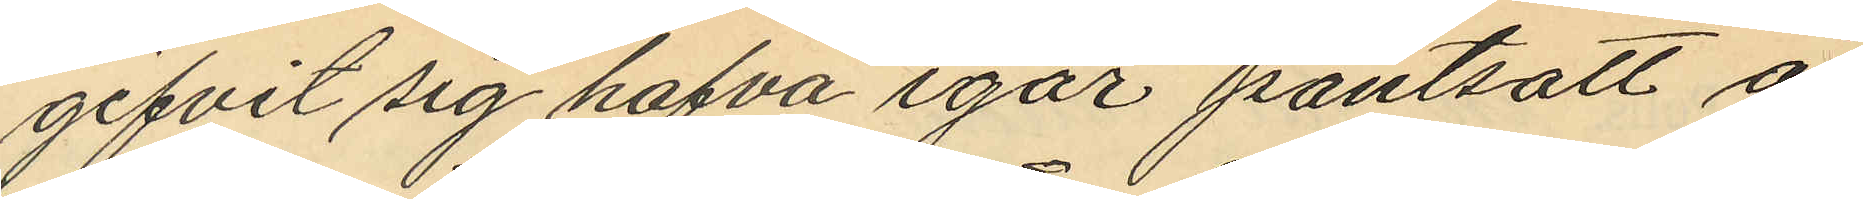gifvit sig hafva igår pantsatt å
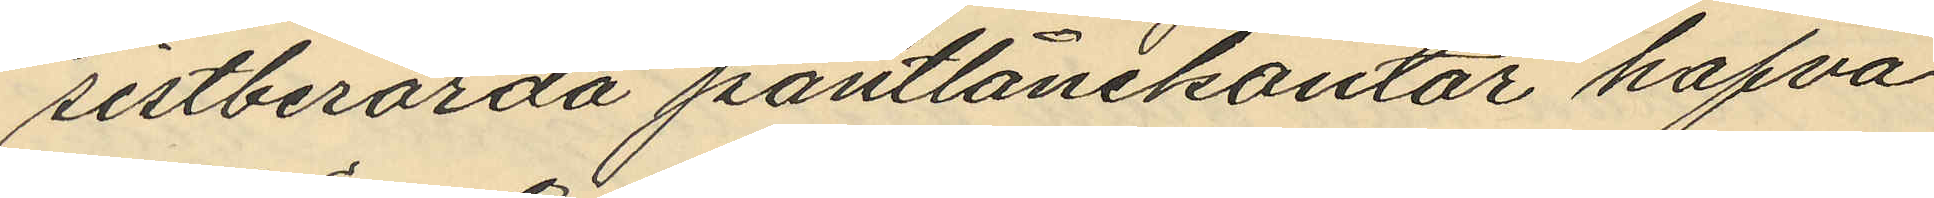sistberörda pantlånekontor hafva
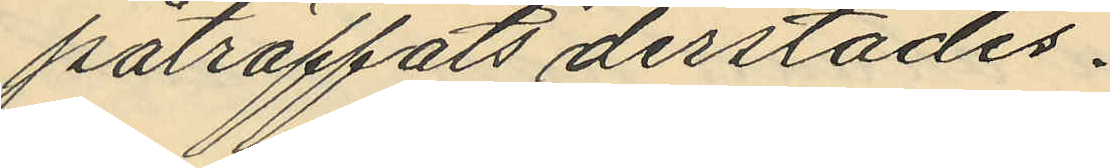påträffats derstädes.
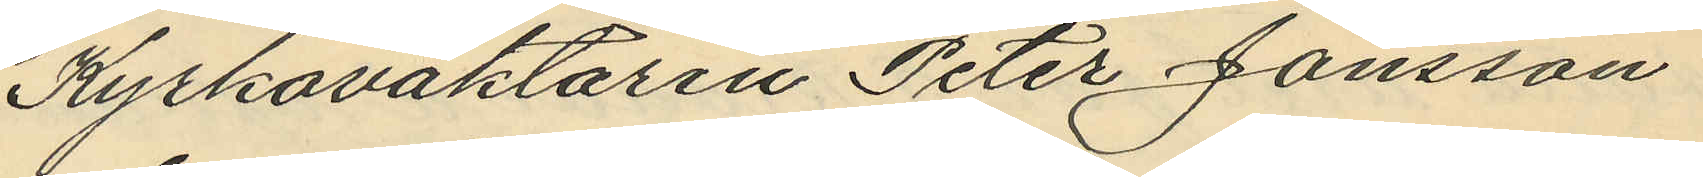Kyrkoväktaren Peter Jonsson
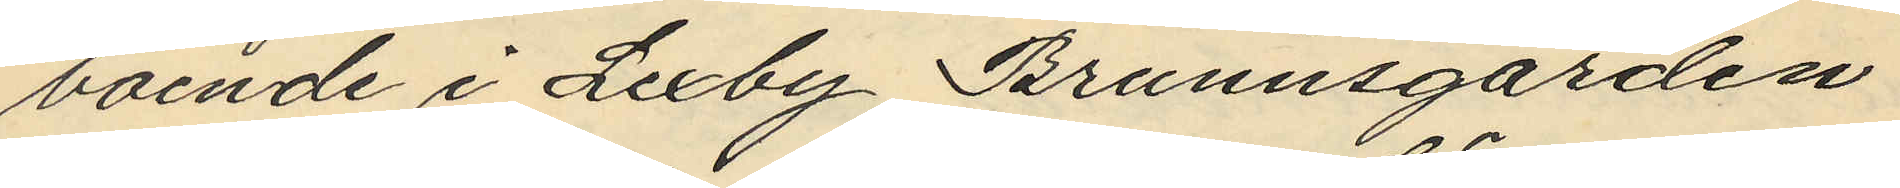boende i Lexby Brunnsgården
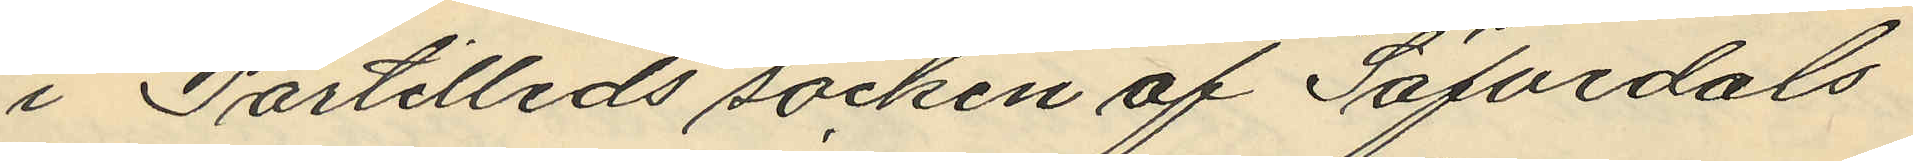i Partilleds socken af Säfvedals
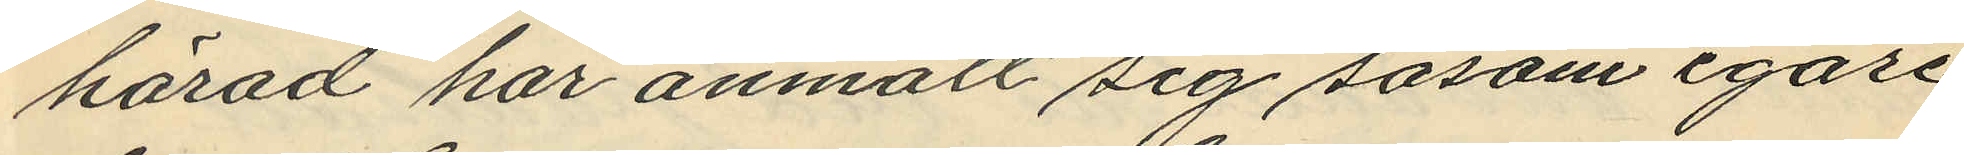härad har anmält sig såsom egare
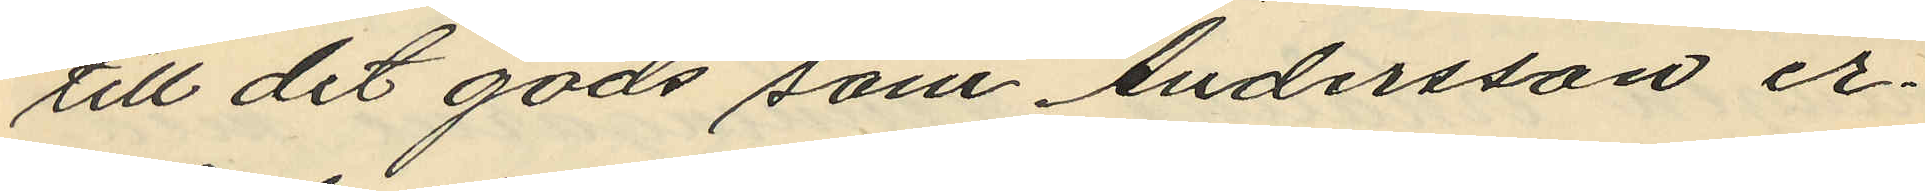till det gods som Andersson er¬
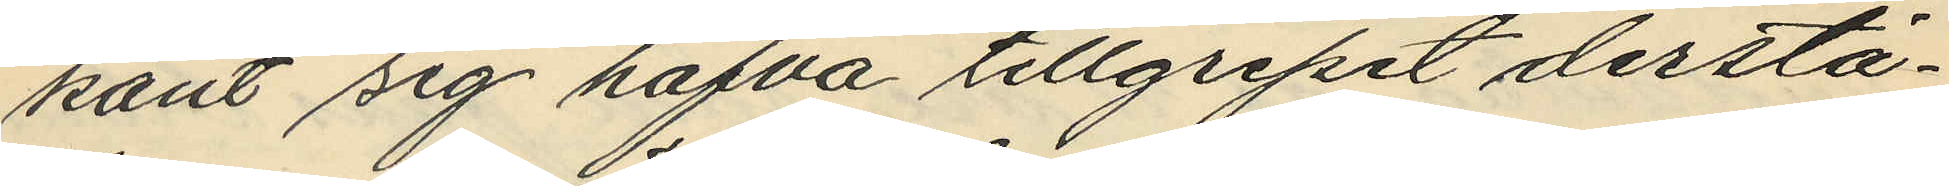känt sig hafva tillgripit derstä¬
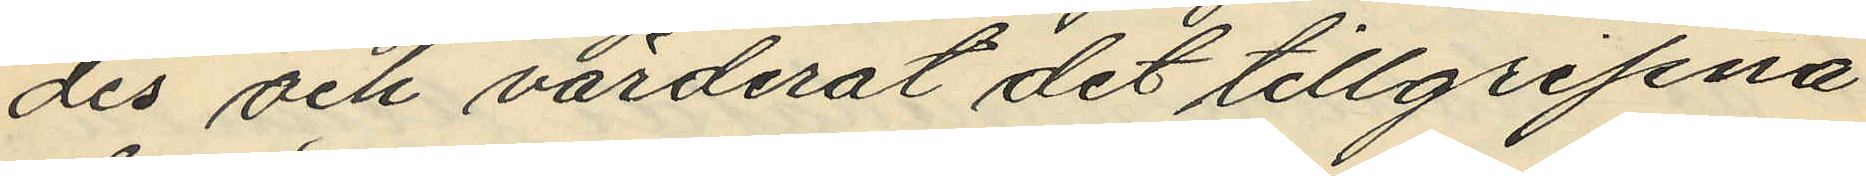des och värderat det tillgripna
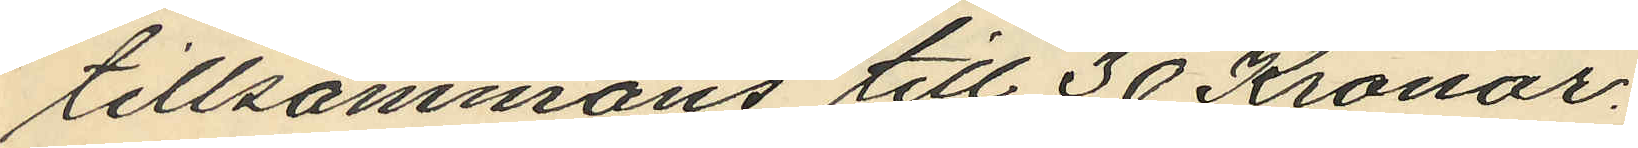tillsammans till 30 Kronor.
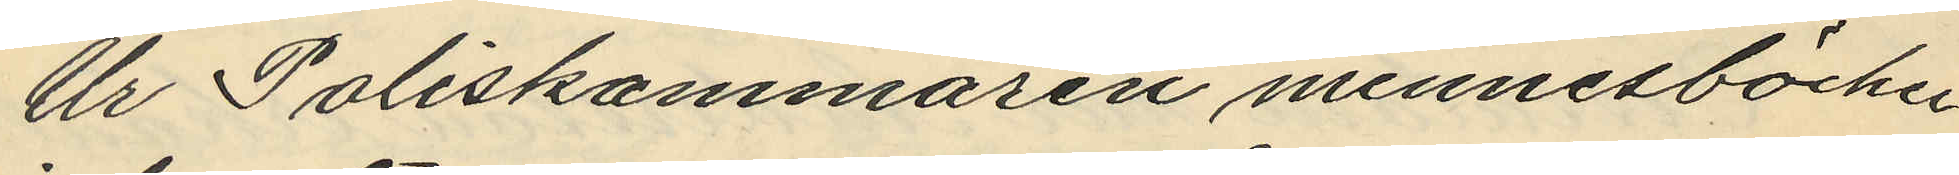Ur Poliskammaren minnesböcker
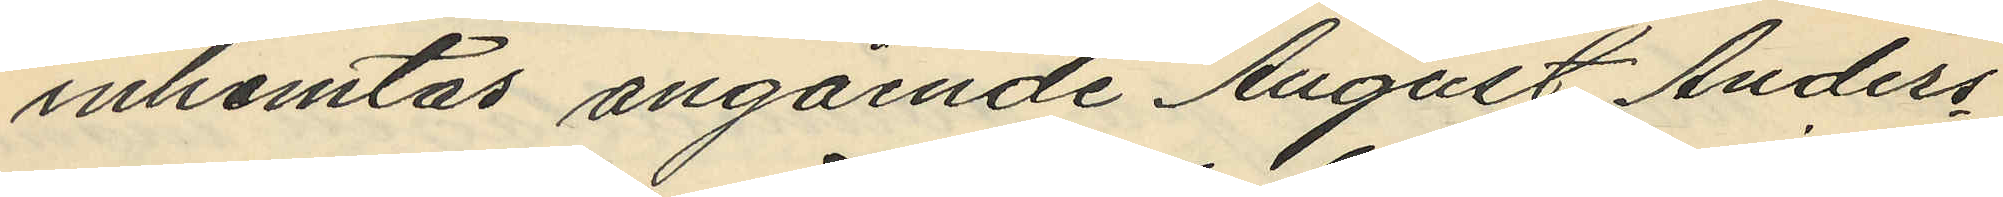inhemtas angående August Anders¬
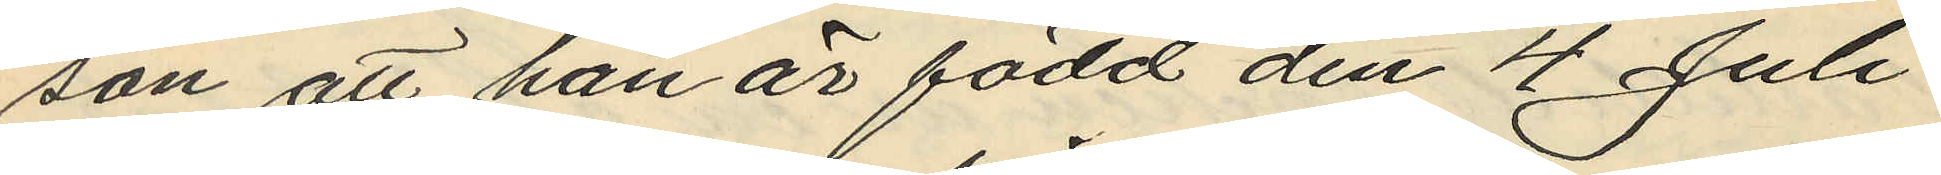son att han är född den 4 Juli
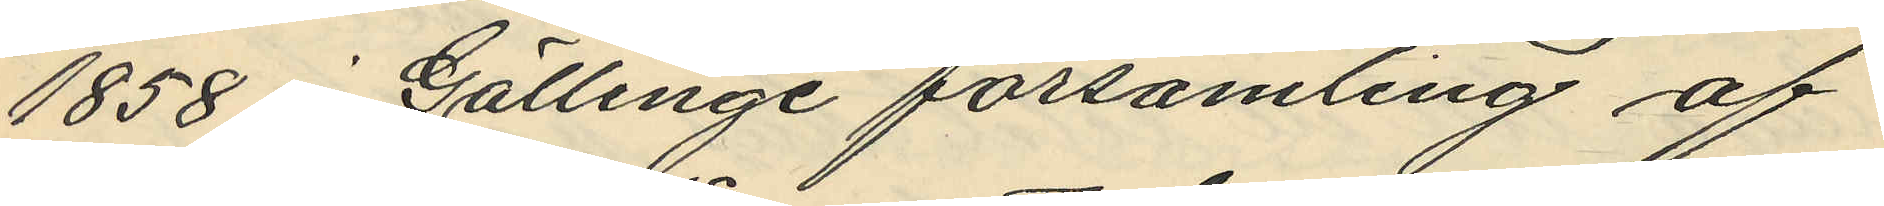1858 i Gällinge församling af
